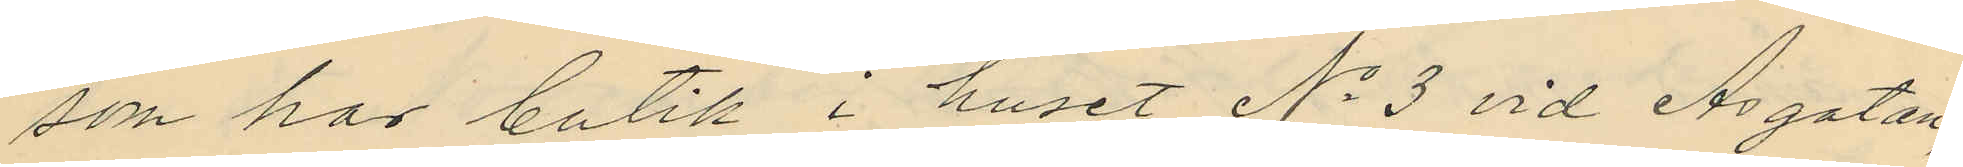som hos butik i huset No 3 vid Åsgatan,
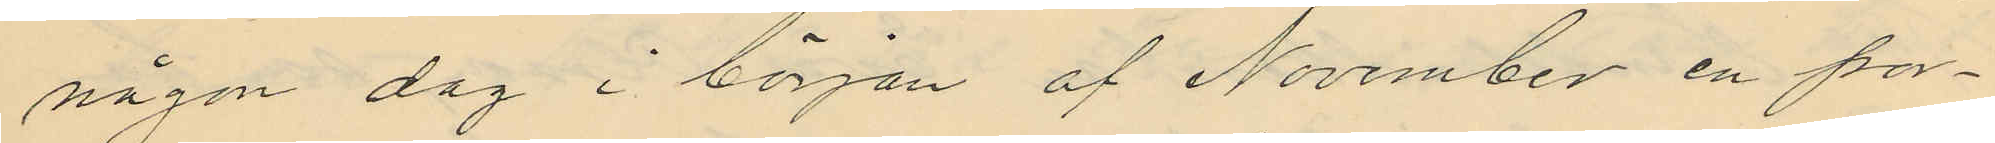någon dag i början af November en por¬
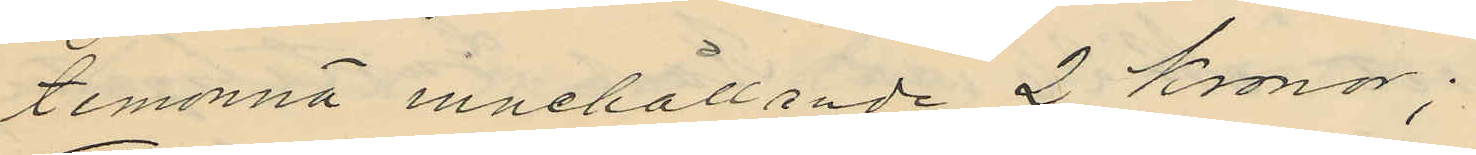temonnä innehållande 2 Kronor;
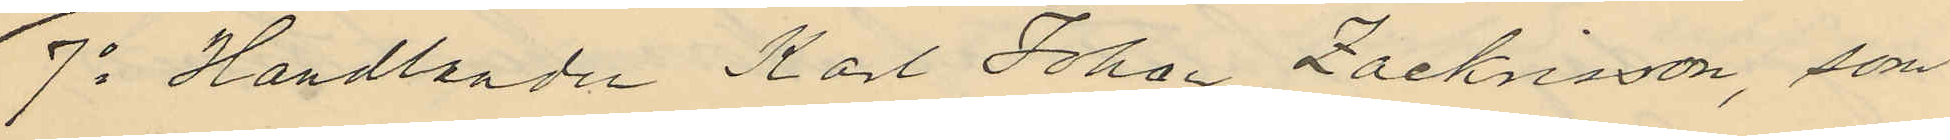7o Handlanden Karl Johan Zachrisson, som
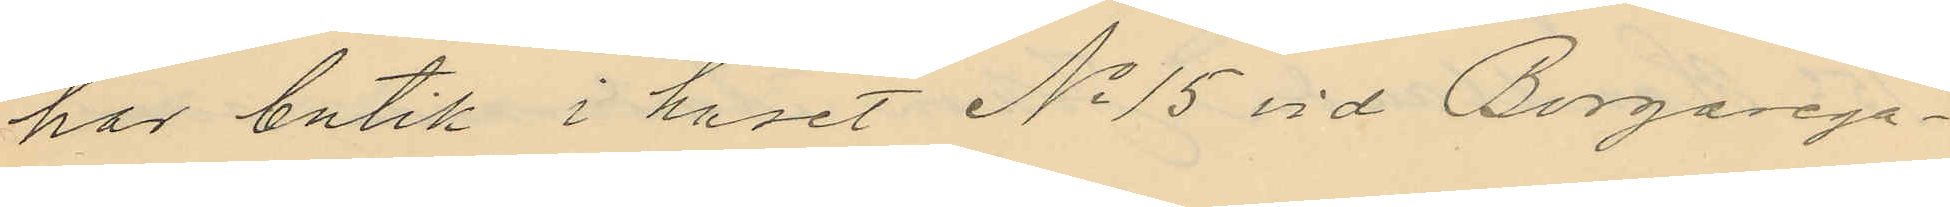har butik i huset No 15 vid Borgarega¬
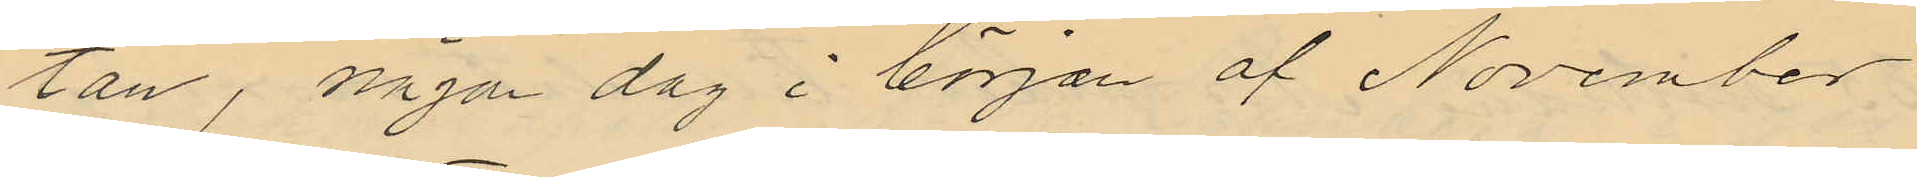tan, någon dag i början af November
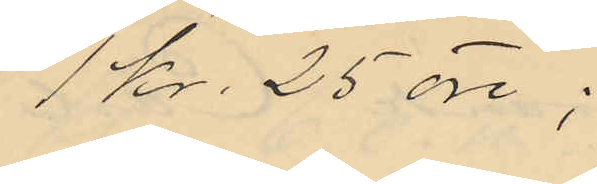1 Kr. 25 öre;
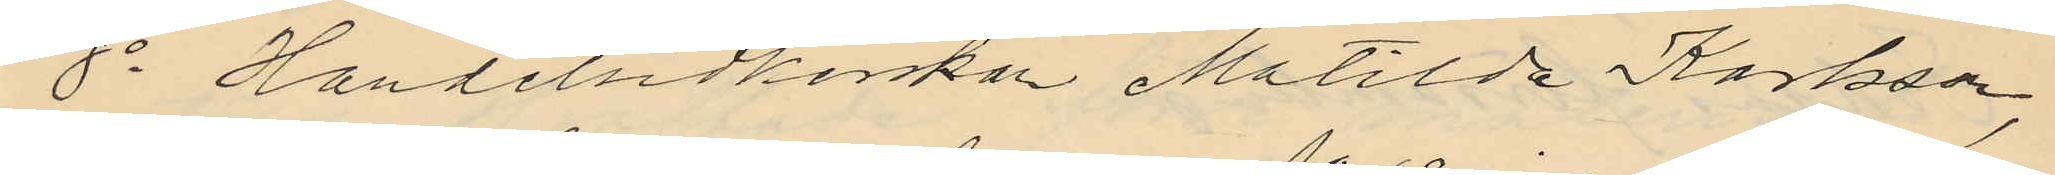8o Handelsidkerskan Matilda Karlsson,
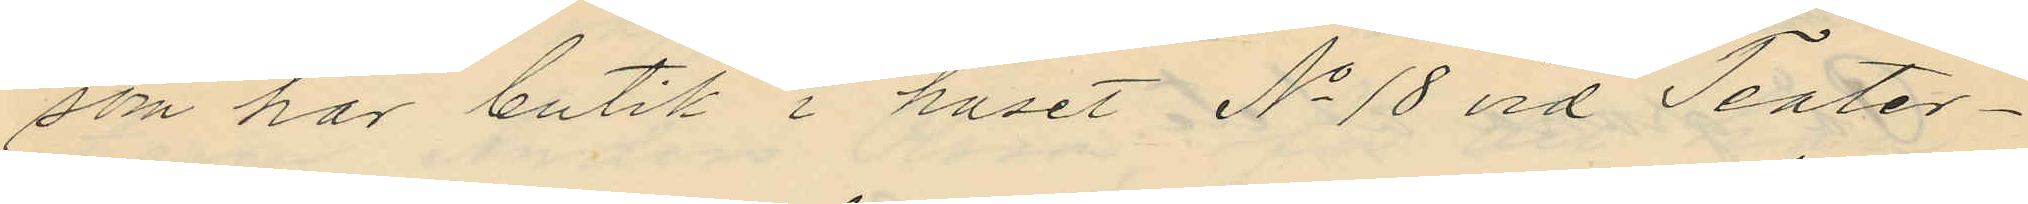som har butik i huset No 18 vid Teater¬
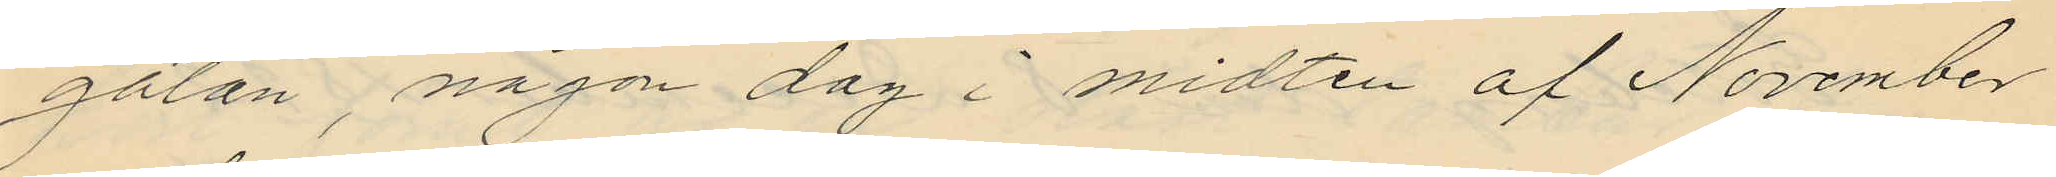gatan, någon dag i midten af November
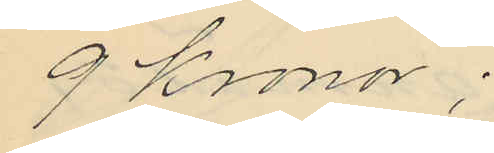9 Kronor;
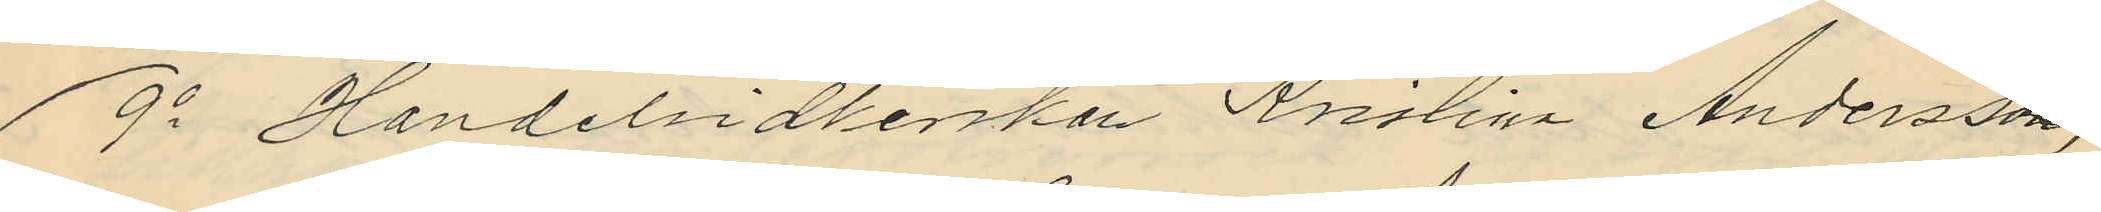9o Handelsidkerskan Kristina Andersson,
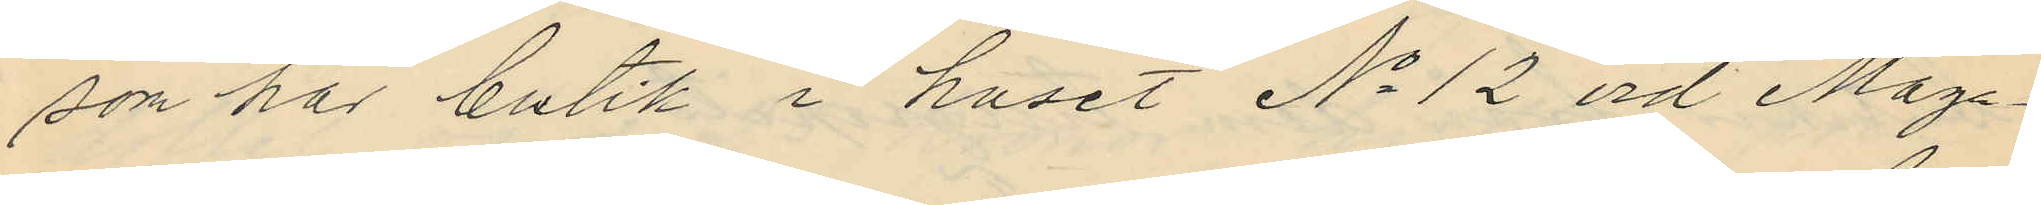som har butik i huset No 12 vid Maga¬
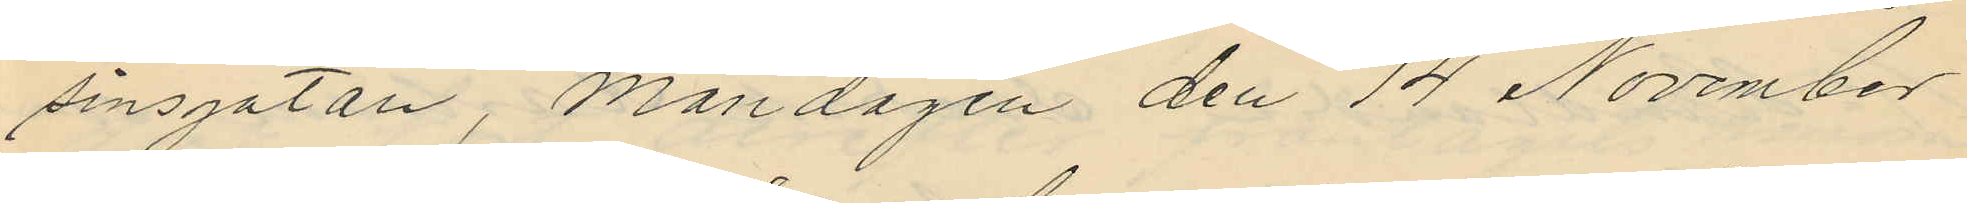sinsgatan, Måndagen den 14 November
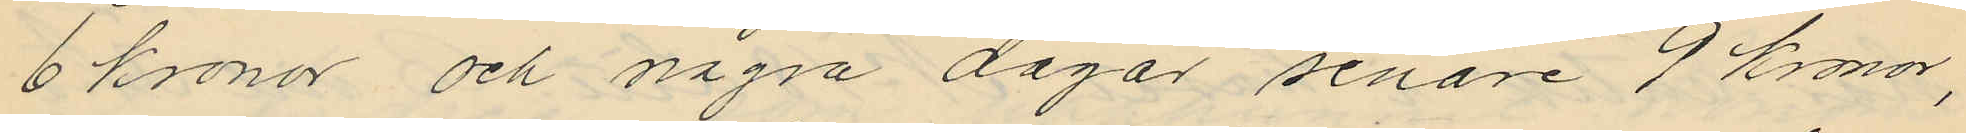6 kronor och några dagar senare 9 kronor,
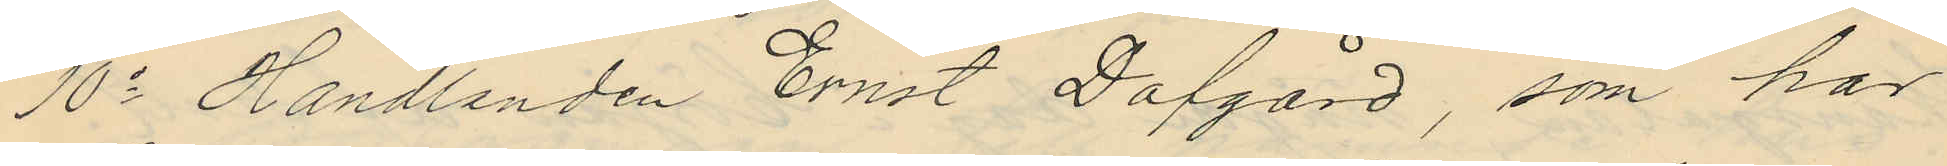10o Handlanden Ernst Dafgård, som har
